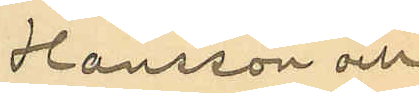Hansson och
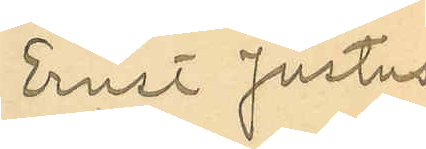Ernst Justus
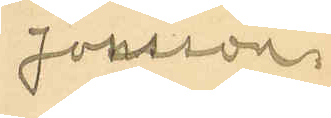Jonsson.
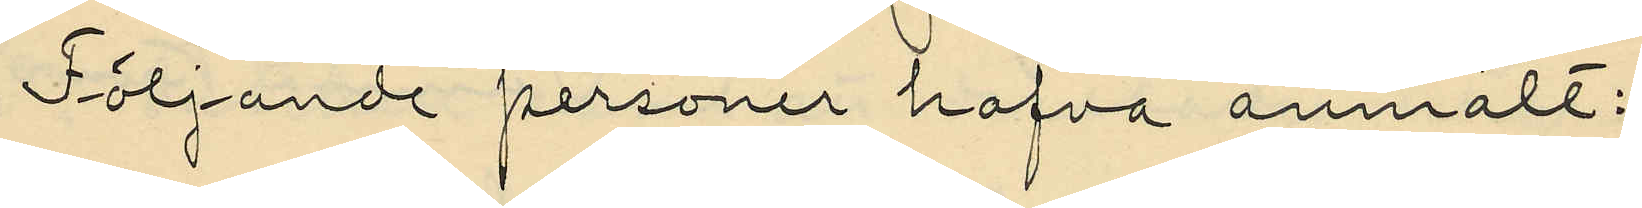Följande personer hafva anmält:
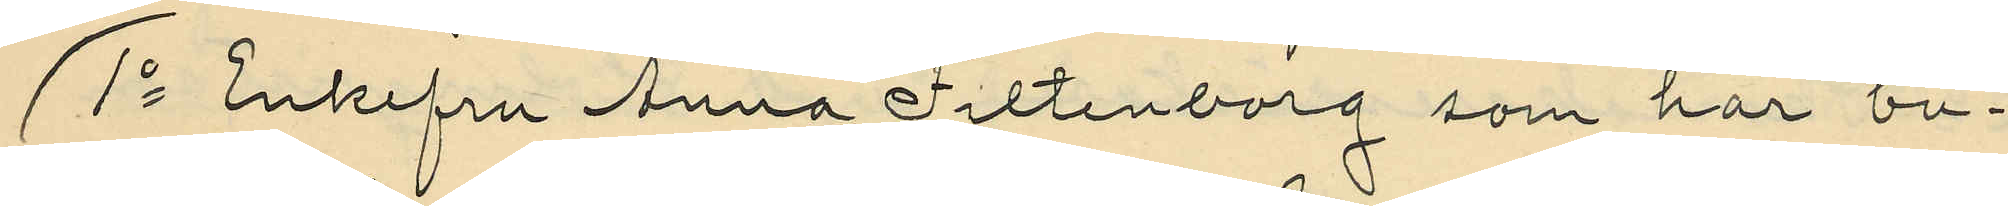1o Enkefru Anna Filtenborg som har bu¬
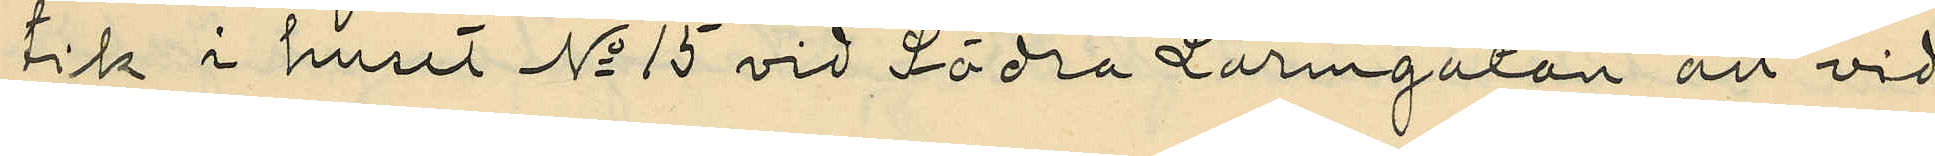tik i huset No 15 vid Södra Larmgatan att vid
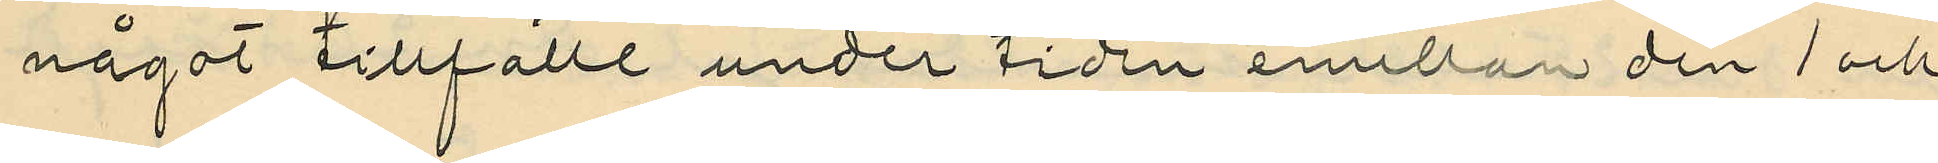något tillfälle under tiden emellan den 1 och
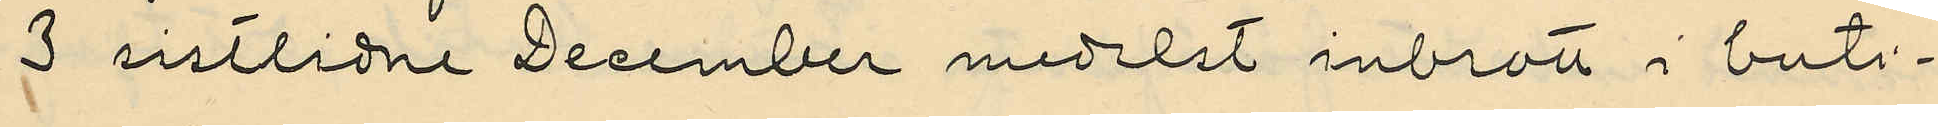3 sistlidne December medelst inbrott i buti¬
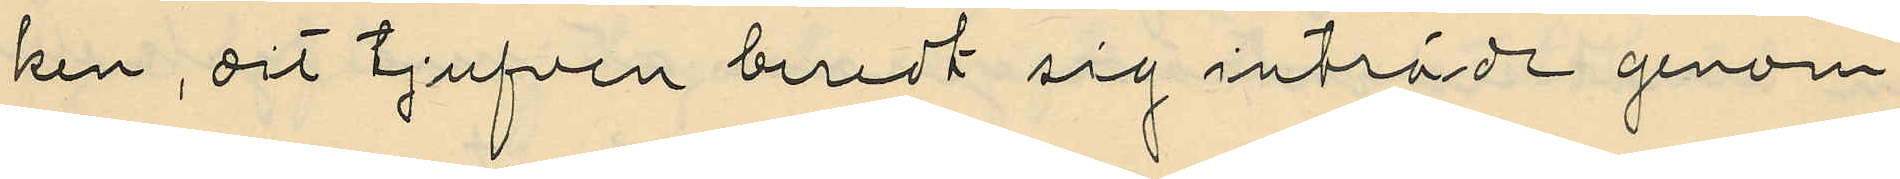ken, dit tjufven beredt sig inträde genom
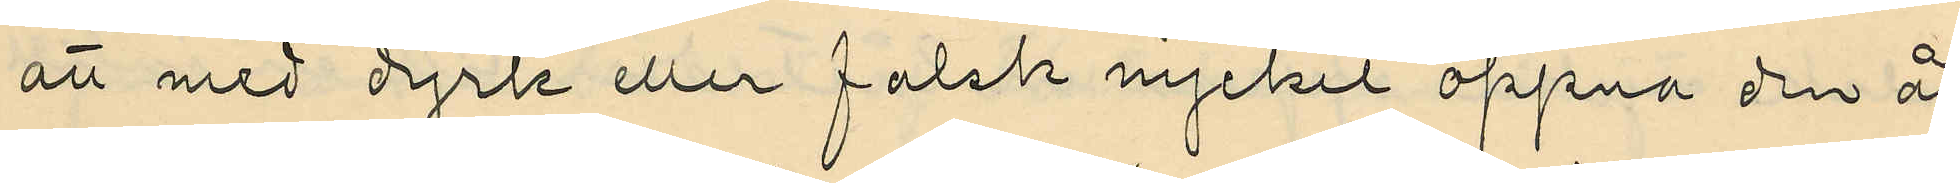att med dyrk eller falsk nyckel öppna den åt
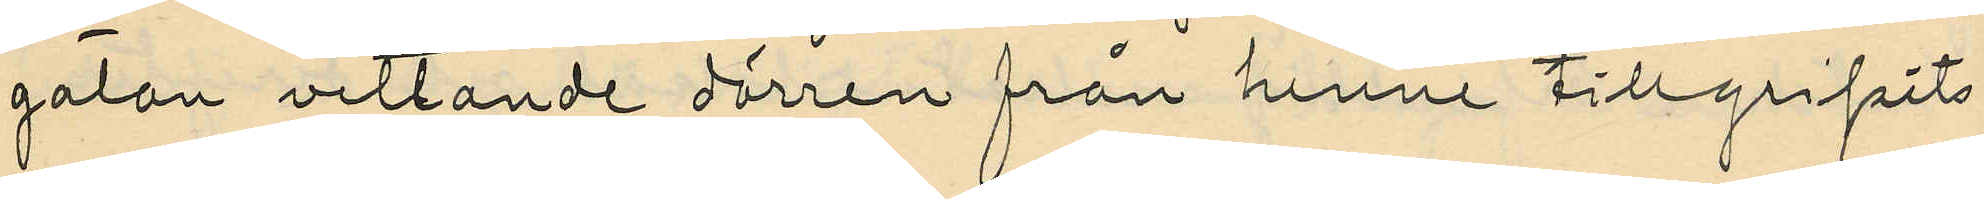gatan vettande dörren från henne tillgripits
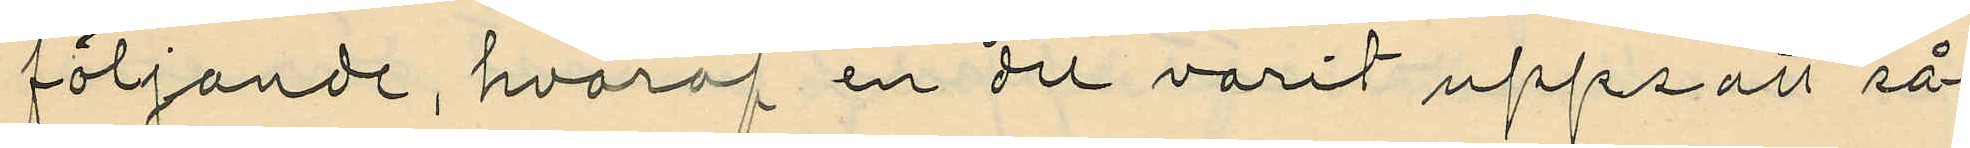följande, hvaraf en del varit uppsatt så¬
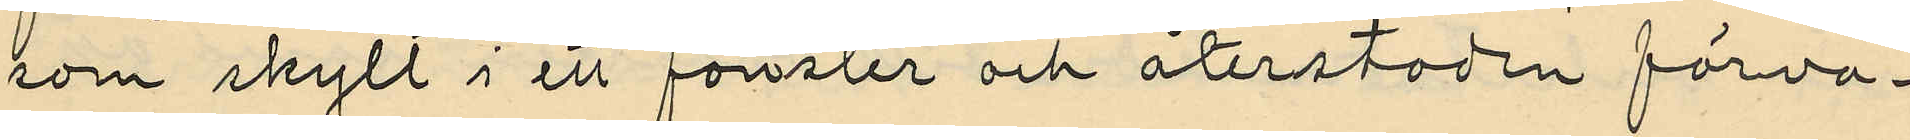som skylt i ett fönster och återstoden förva¬
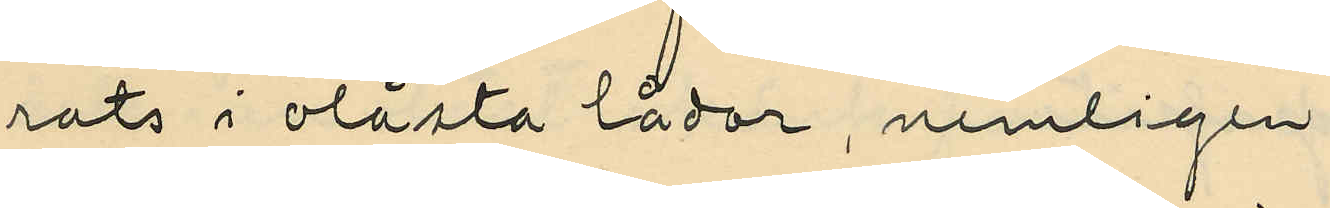rats i olåsta lådor, nemligen
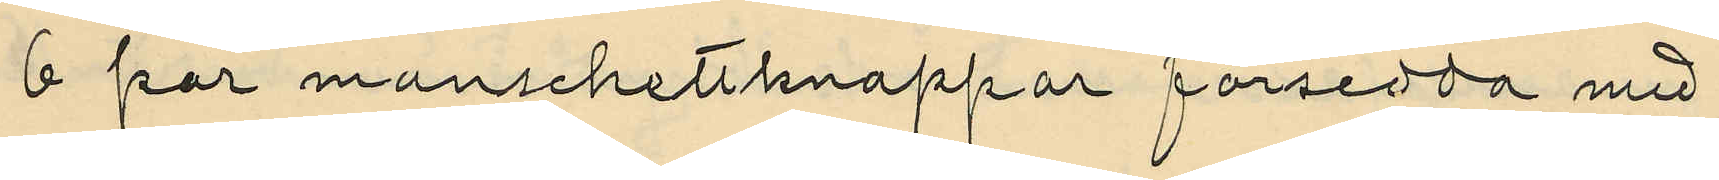6 par manschettknappar försedda med
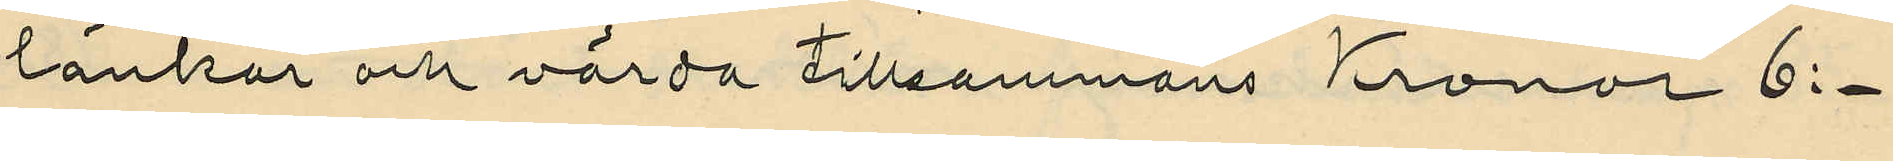länkar och värda tillsammans Kronor 6:-
